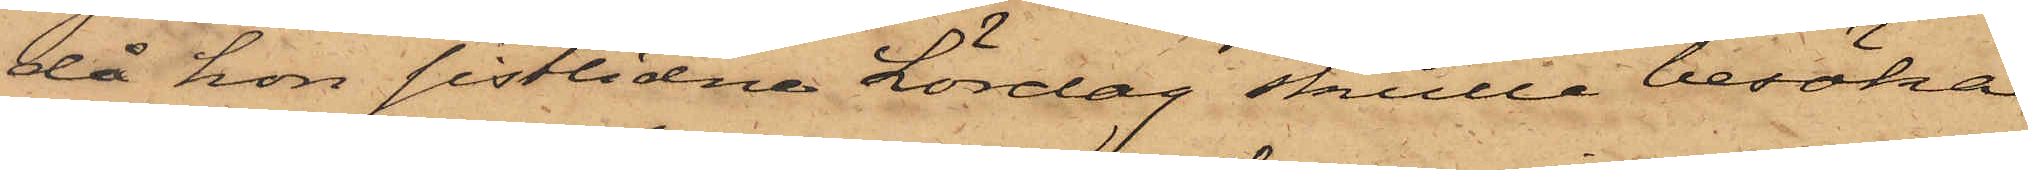då hon sistlidne Lördag skulle besöka
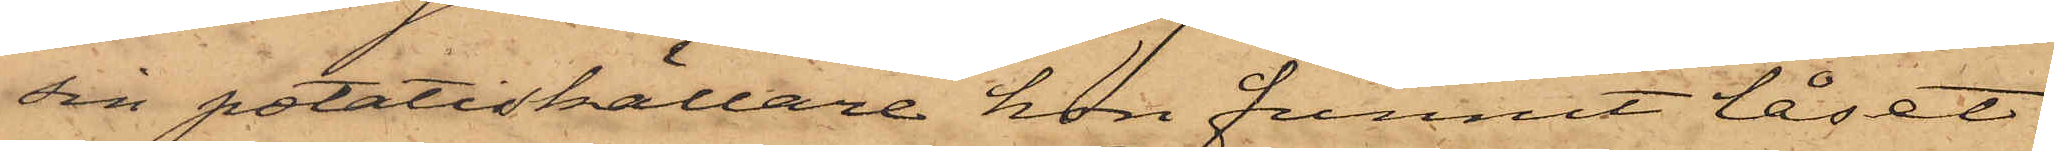sin potatiskällare hon funnit låset
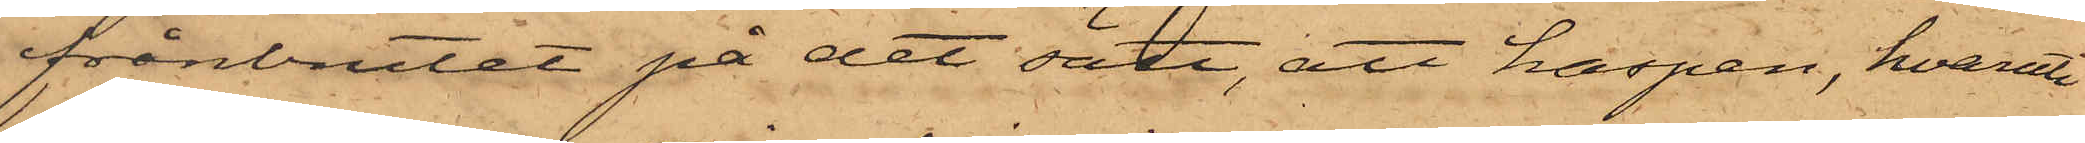frånbrutet på det sätt, att haspen, hvaruti
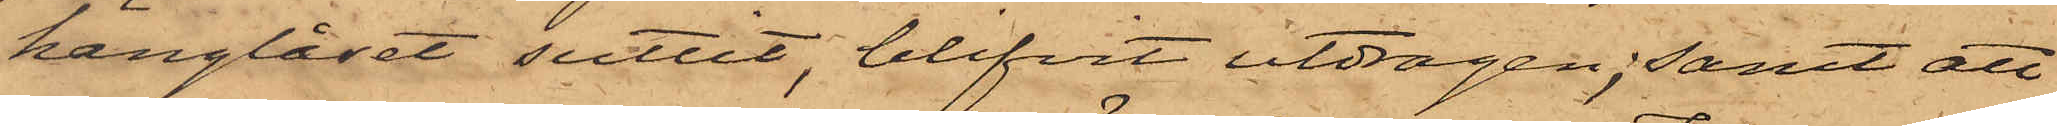hänglåset suttit, blifvit utdragen; samt att
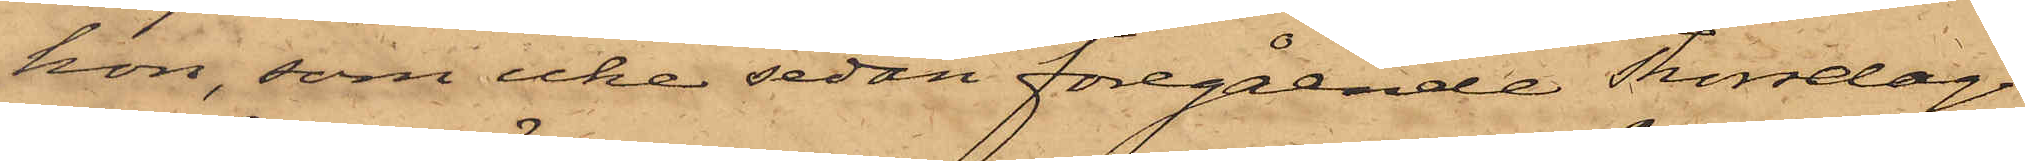hon, som icke sedan föregående Thorsdag
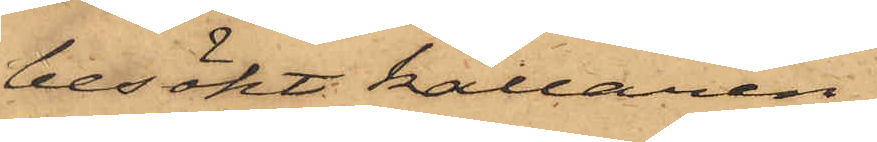besökt källaren,
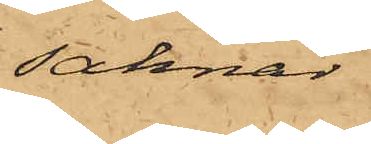saknar
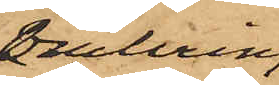omkring
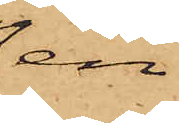en
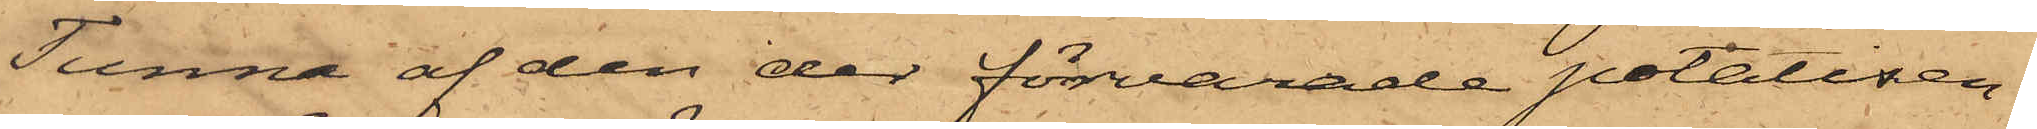Tunna af den der förvarade potatisen.
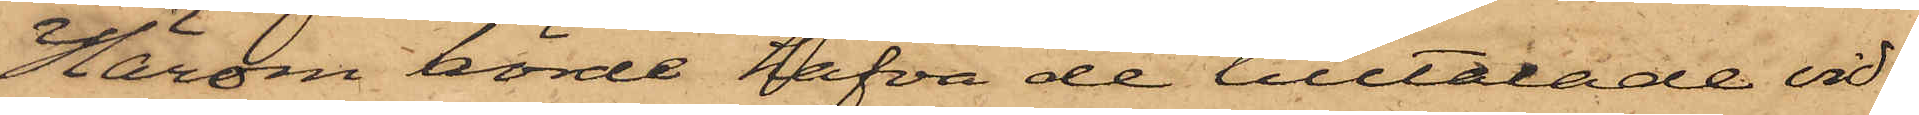Härom hörde hafva de tilltalade vid¬
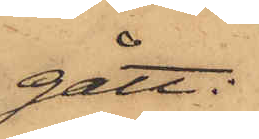gått:
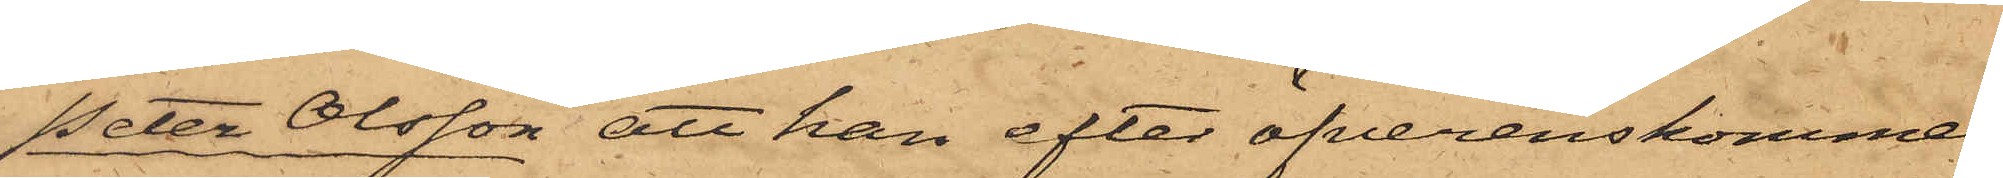Peter Olsson att han efter öfverenskommel¬
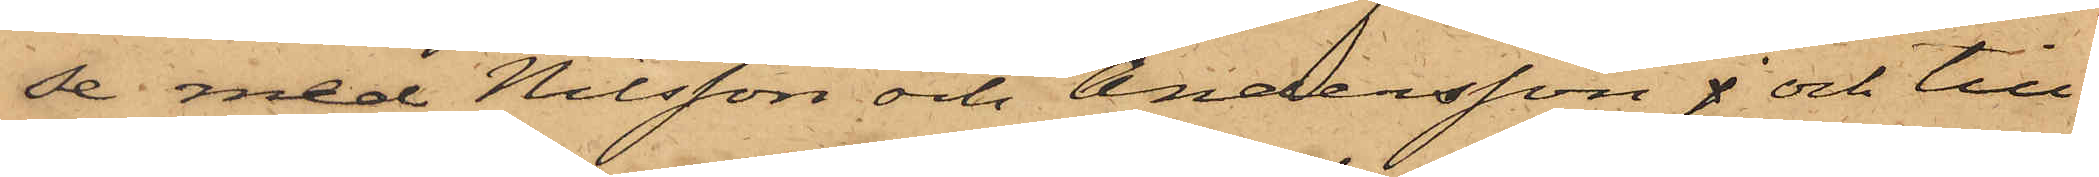se med Nilsson och Andersson j och till¬
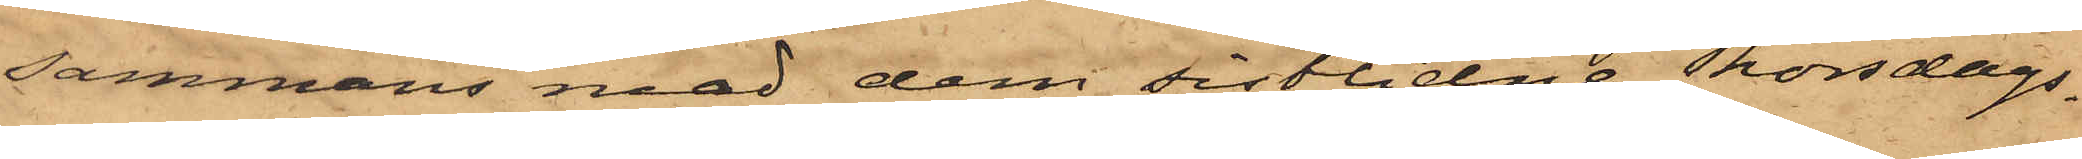sammans med dem sistlidne Thorsdags¬
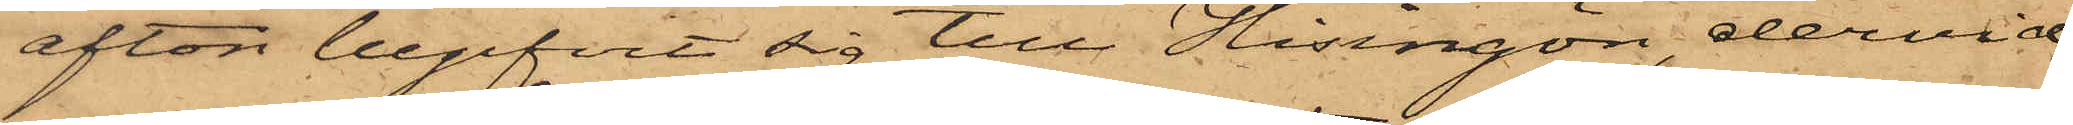afton begifvit sig till Hisingön, dervid
